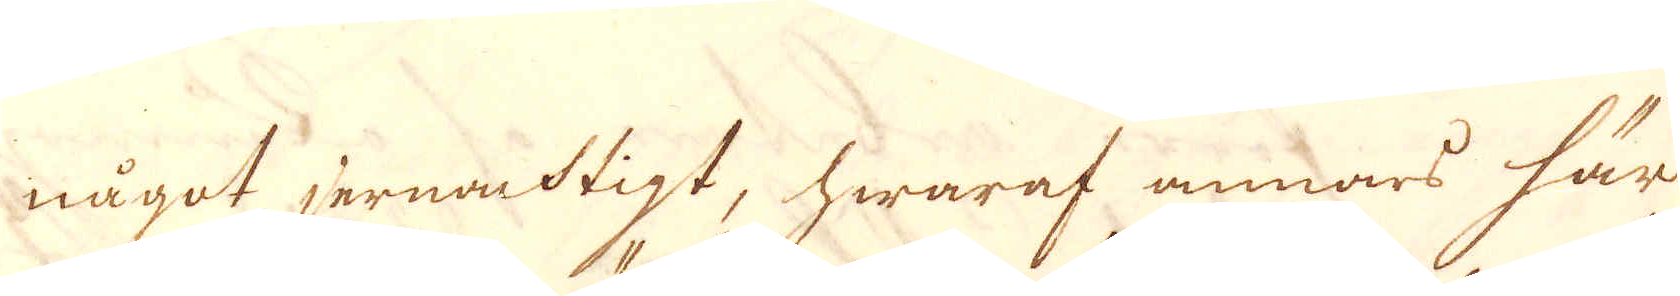något jernacktigt, hwaraf annars här
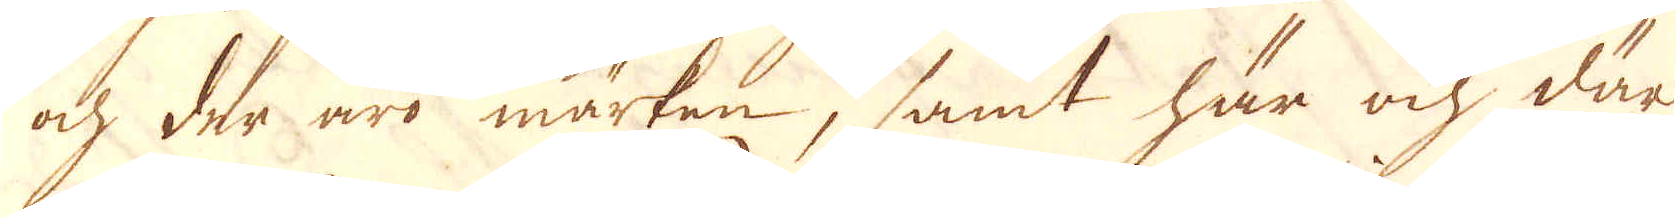och der äro märken, samt här och där
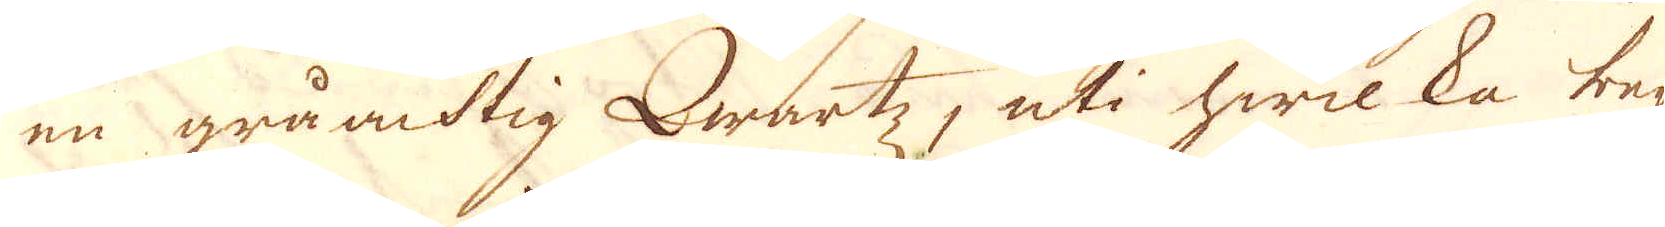en gråaktig Qwartz, uti hwilka beg-
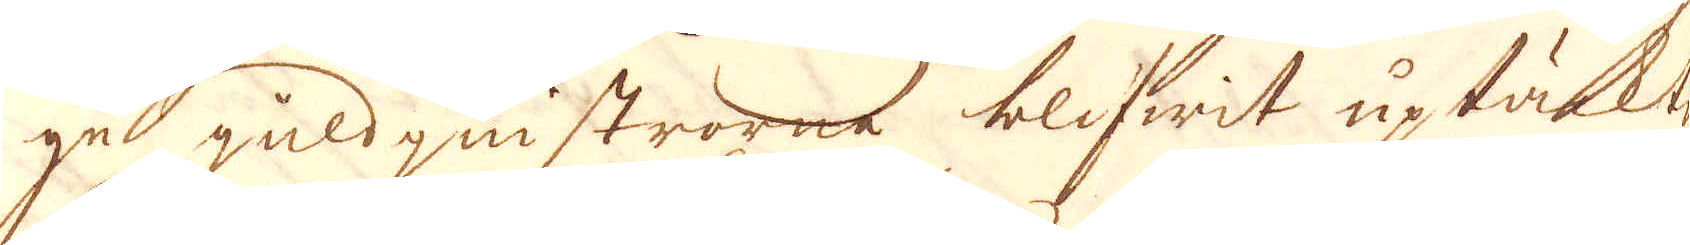ge zuld quistrarne blifwit uptäkte.
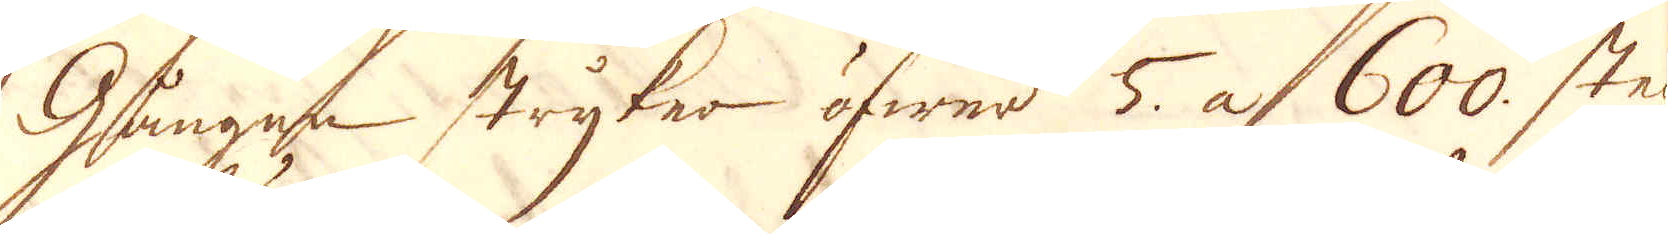Gången stryker öfwrer 5 at 600. steg
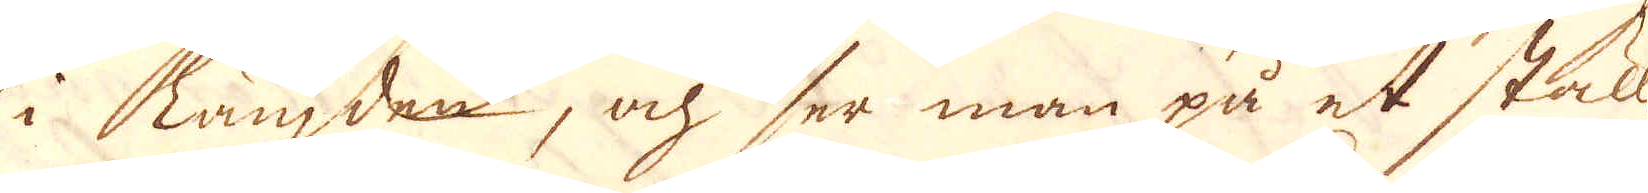i längden, och ser man på et ställe
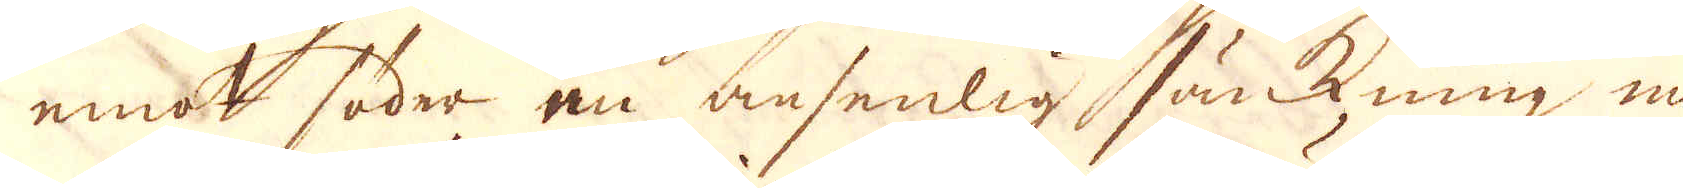emot söder en ansenlig sänkning nu
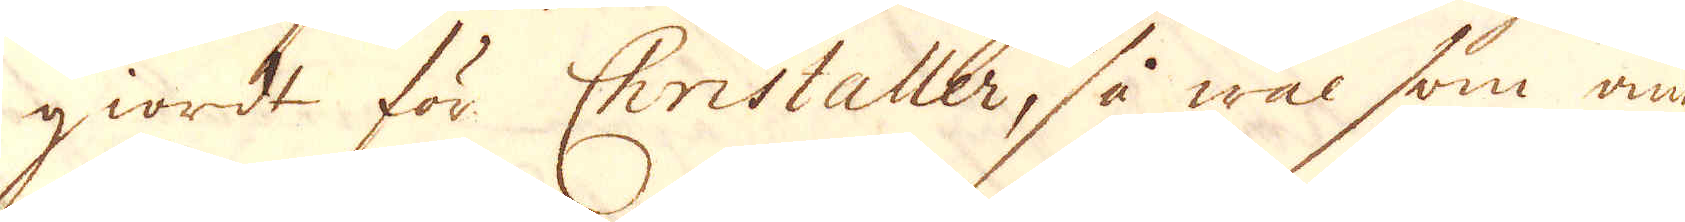giordt för Christaller, så wäl som ann
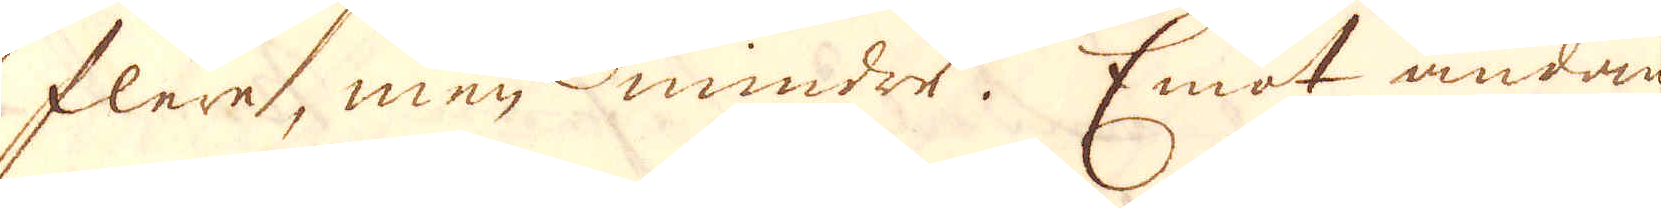flere, men mindre. Emot ändan
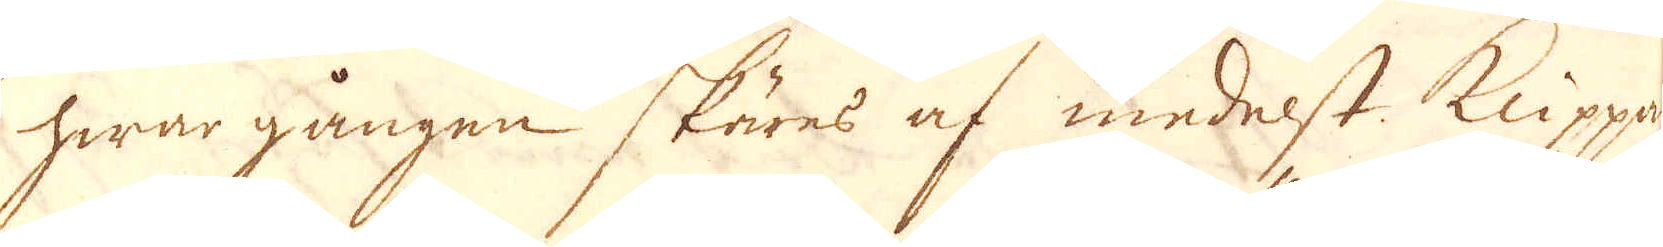hwar gången skäres af medelst klippan
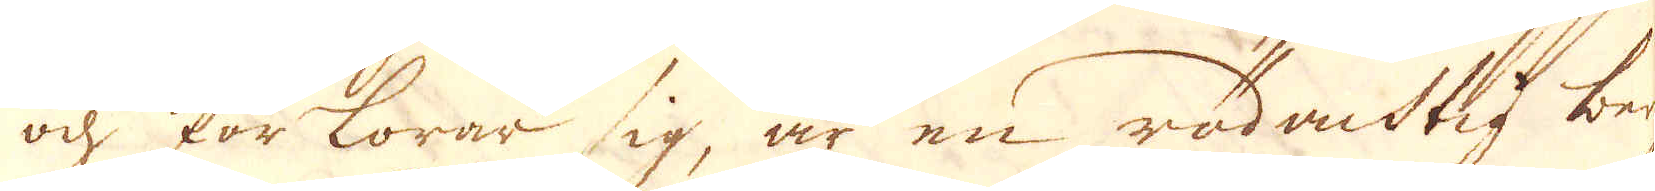och förlorar sig, är en rödacktig berg-
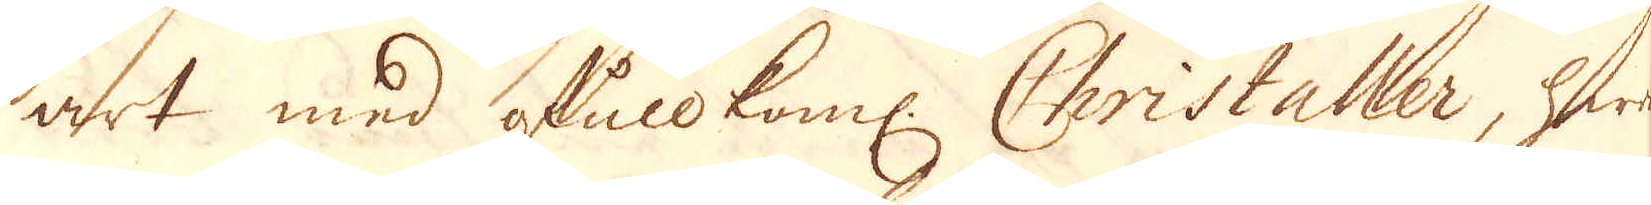art med ghule koml: Christaller, hwar-
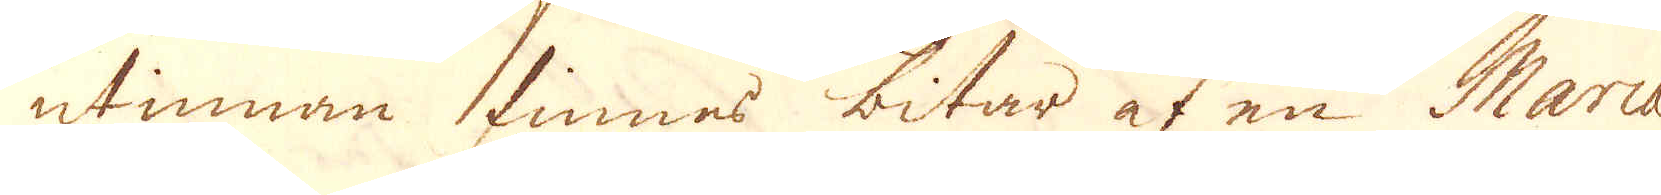utinnan finnes bitar at en Marca-
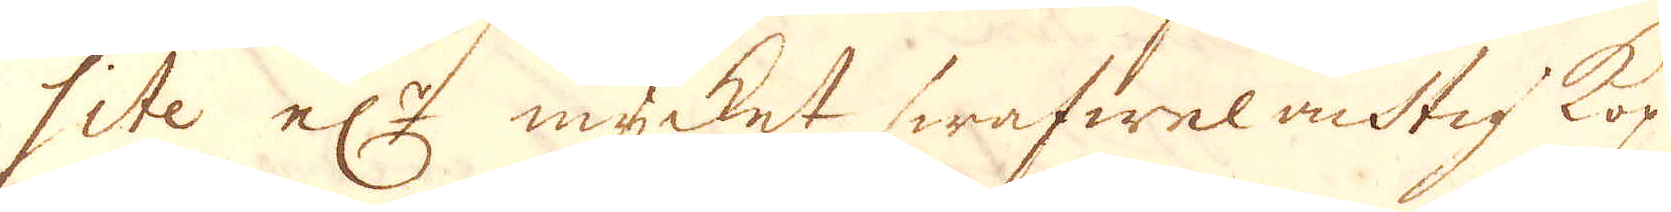lite el:r mycket swafwel achtig kop-
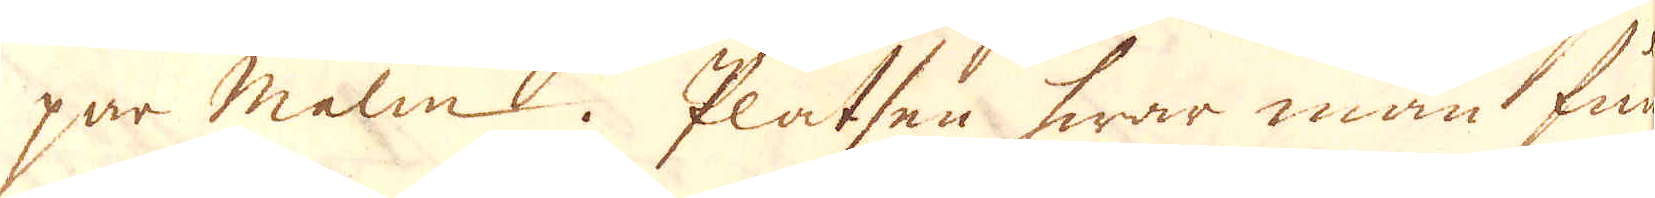par malm. Platsen hwar man fun-
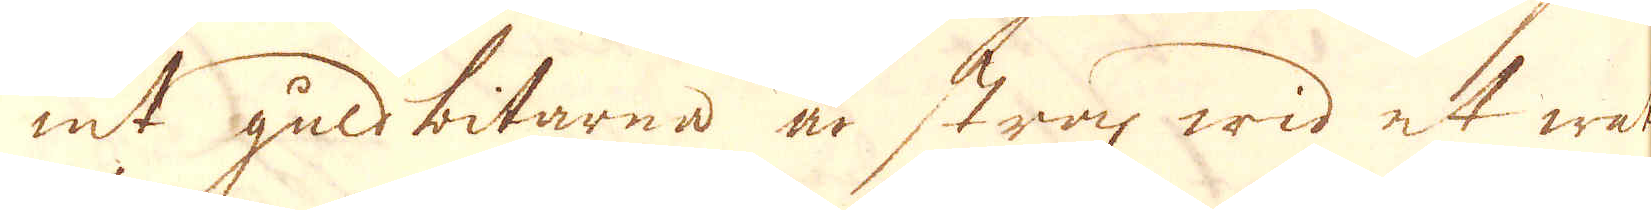nit gudbitarna än strax wid et watu-
